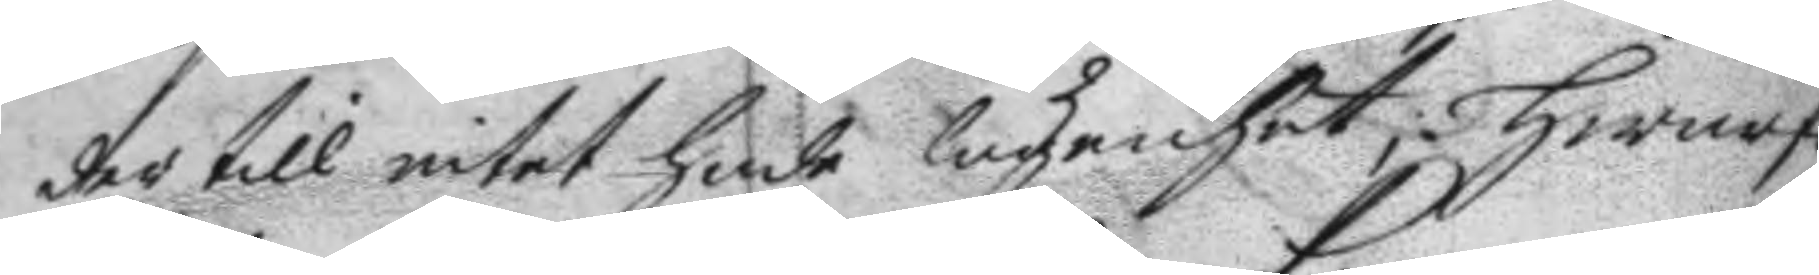der till intet hade lägenhet; hwaraf
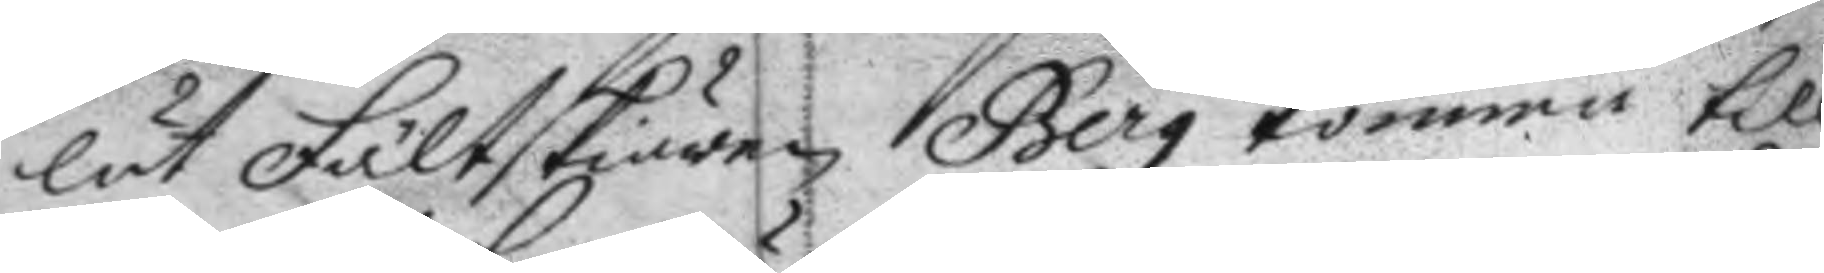lät Fältskiären Berg komma till
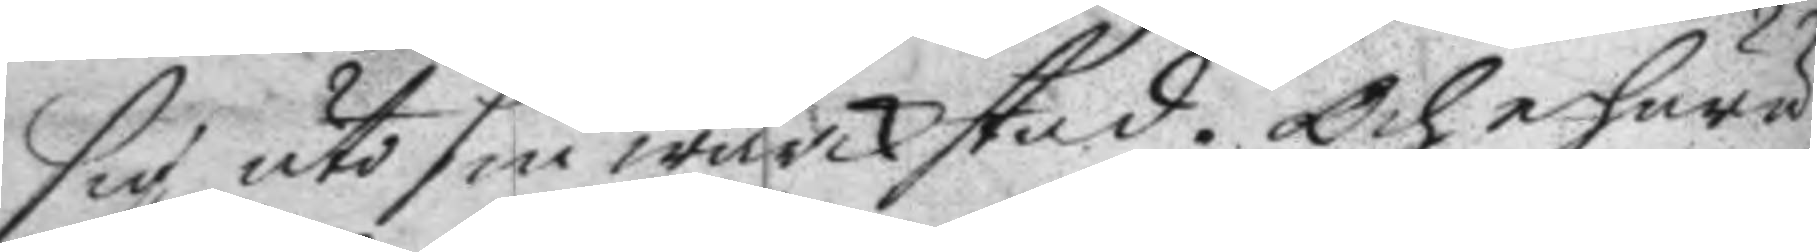sig uti sin wärckstad. Och ehuru
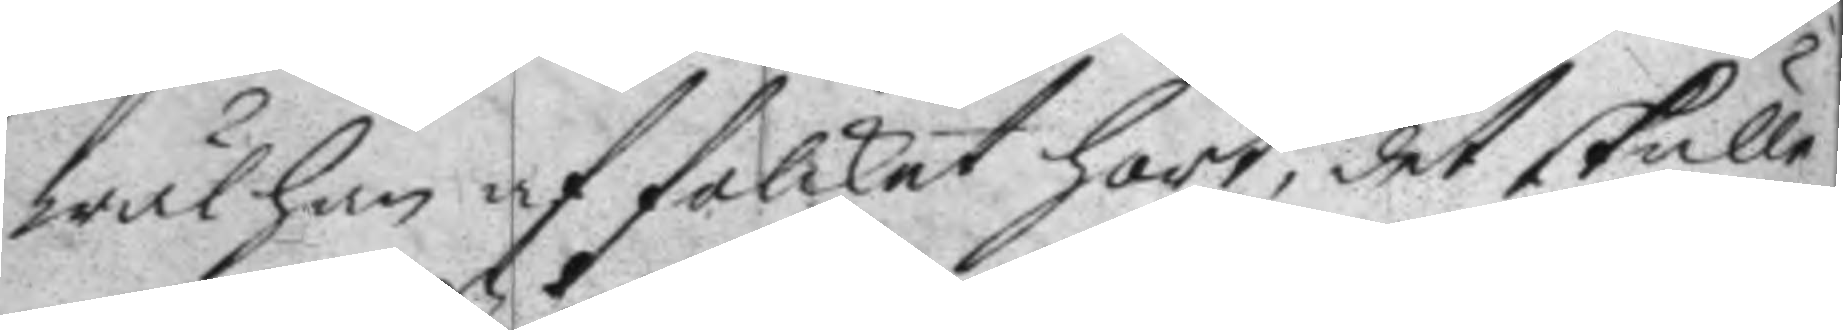wäl han af folcket hört, det skulle
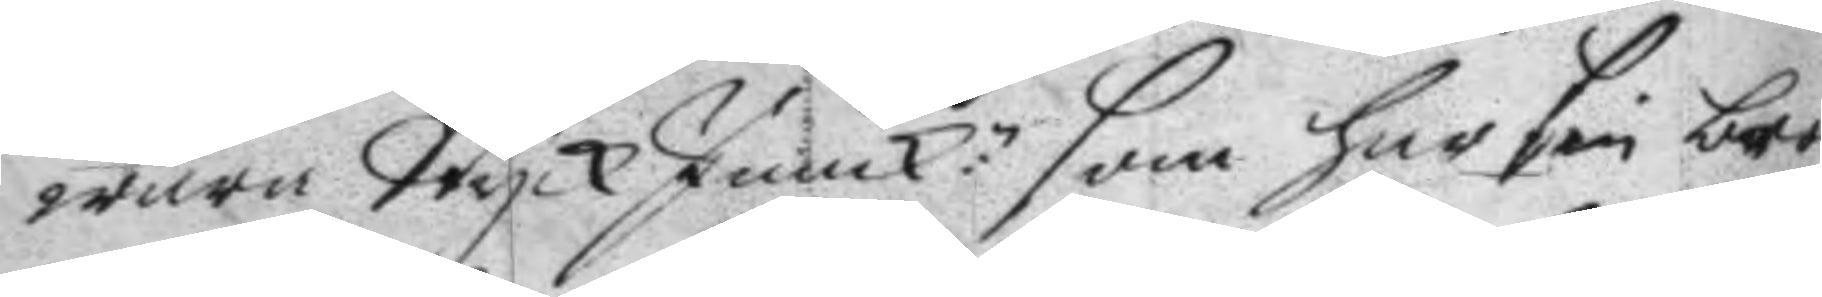wara Styck Junck:n som har sin bror
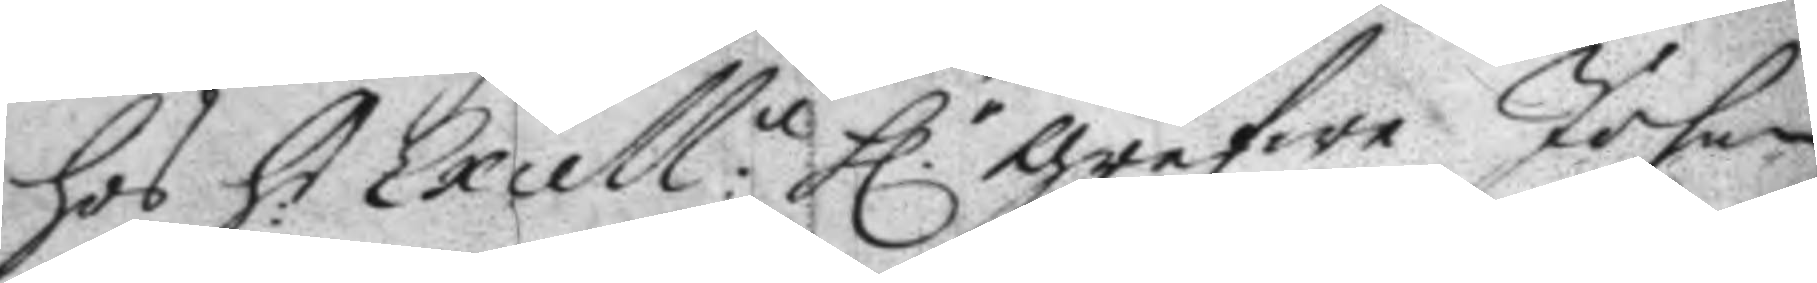hos H:r Excell:n H.r grefwe Johan
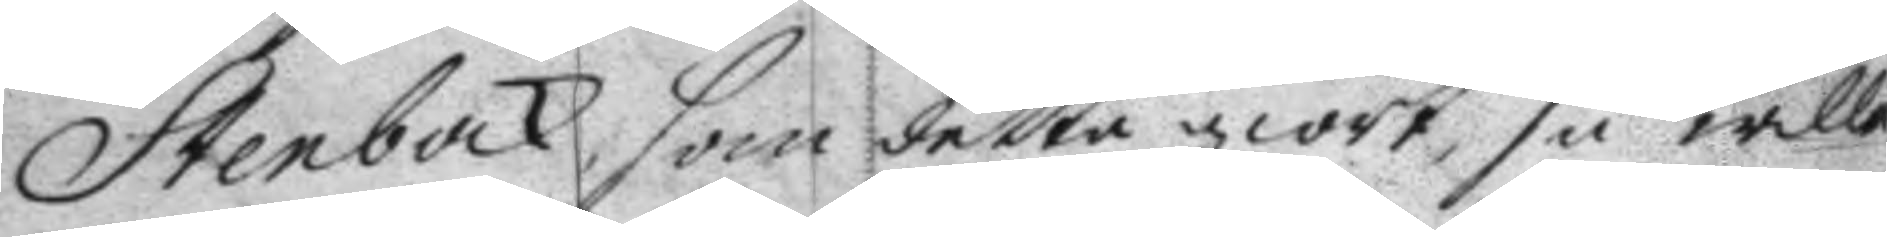Stenbock, som detta giort, så wille
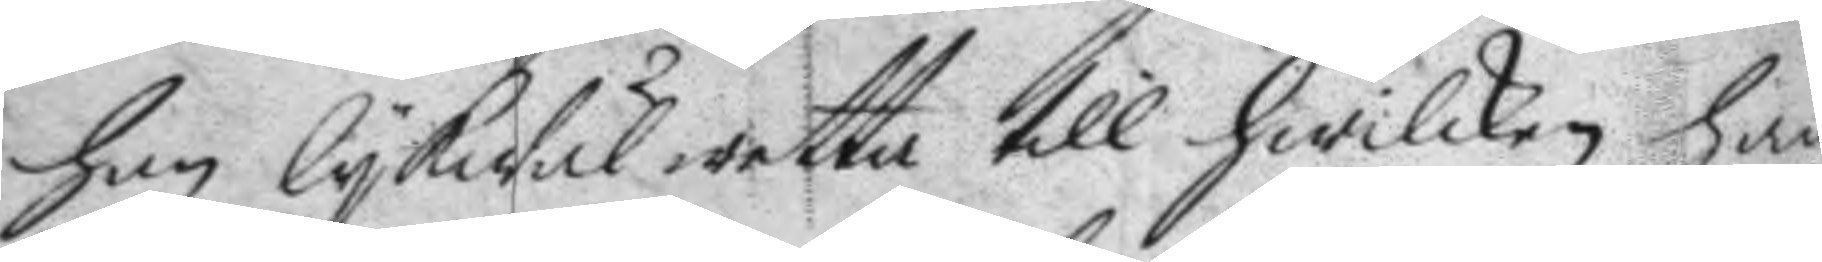han lykwäl wetta till hwilken han
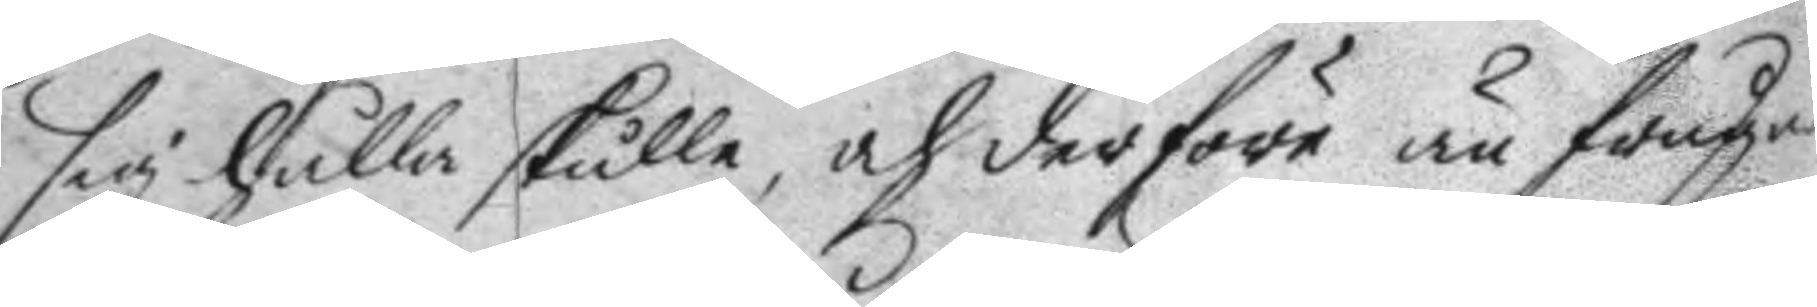sig hålla skulle, och deföre än frågat
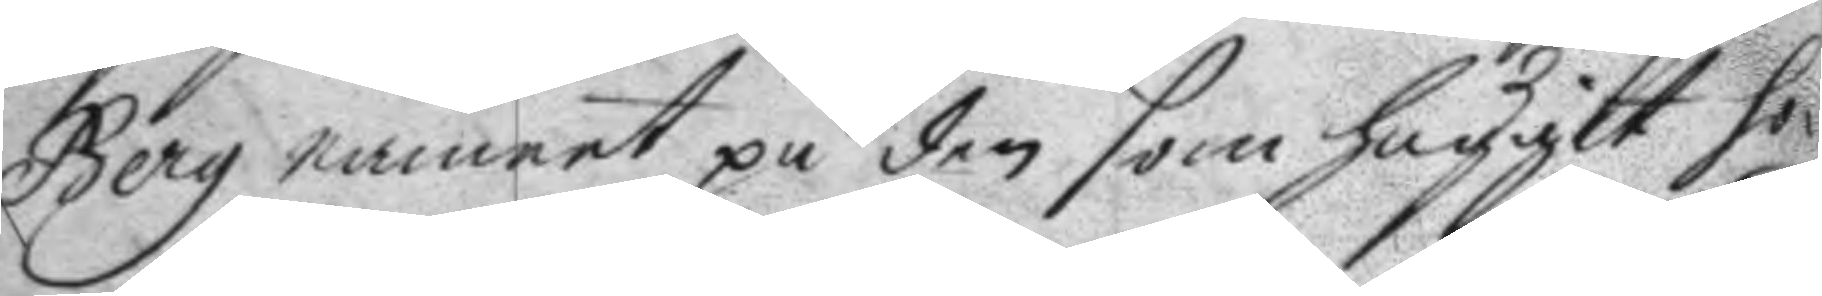Berg namnet på den som huggit ho¬
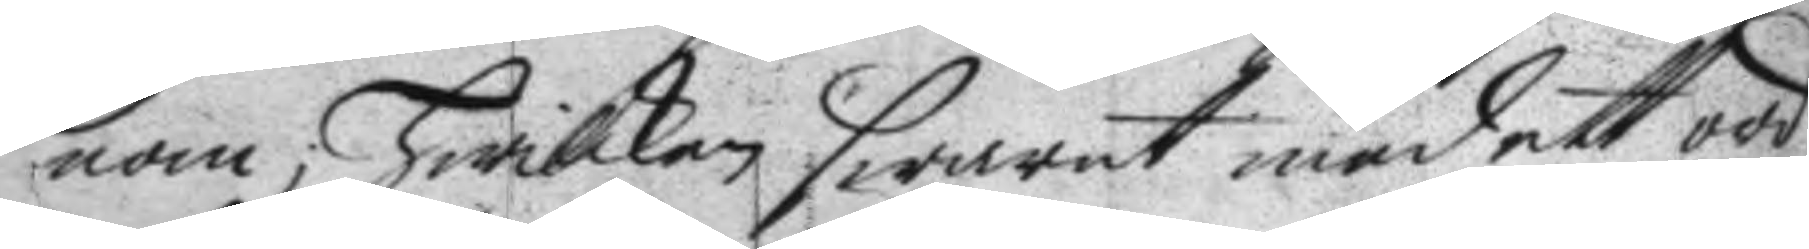nom, hwilken swarat med ett ord
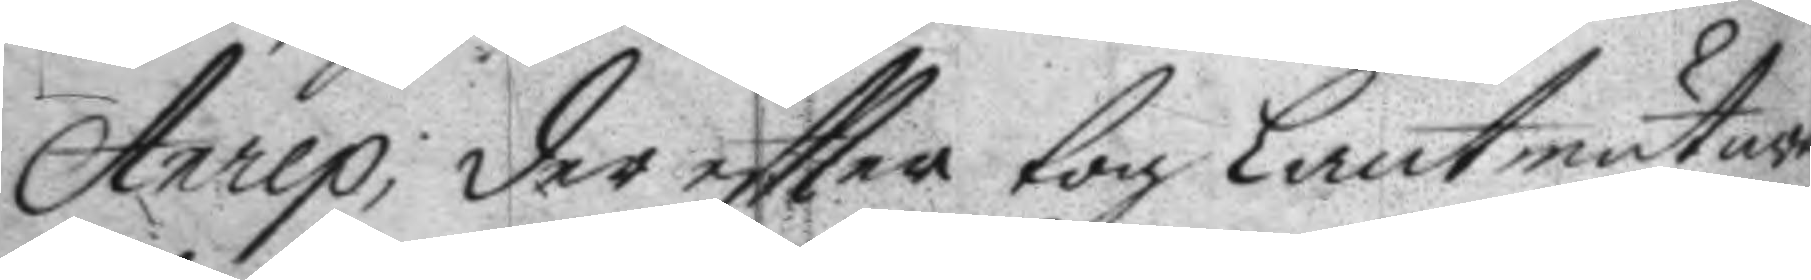Anrep; der eftter tog Lantmästare
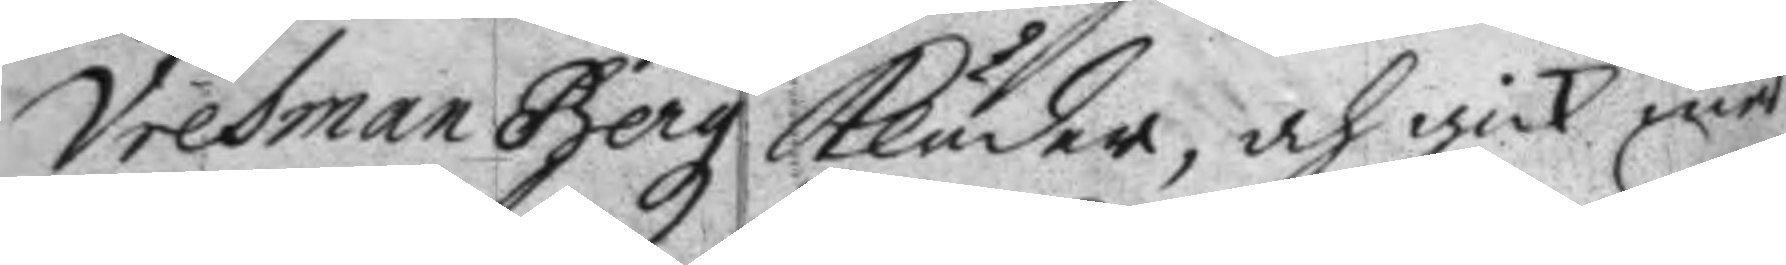Vretman Bergz kläder, och gick med
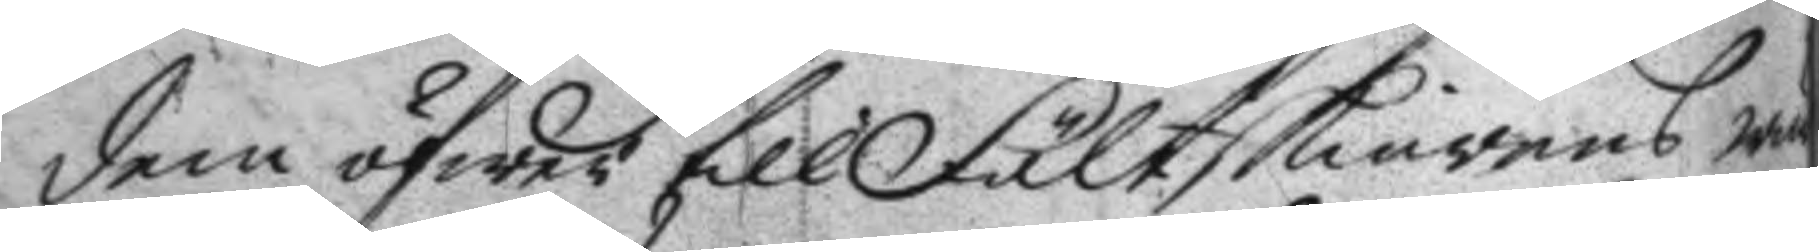dem öfwer till Fältskiärens wär¬
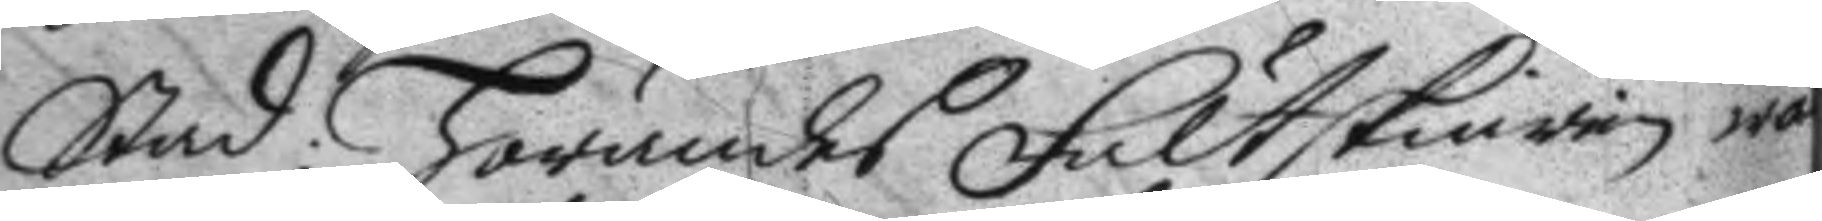stad: hörandes Fältskiären wä
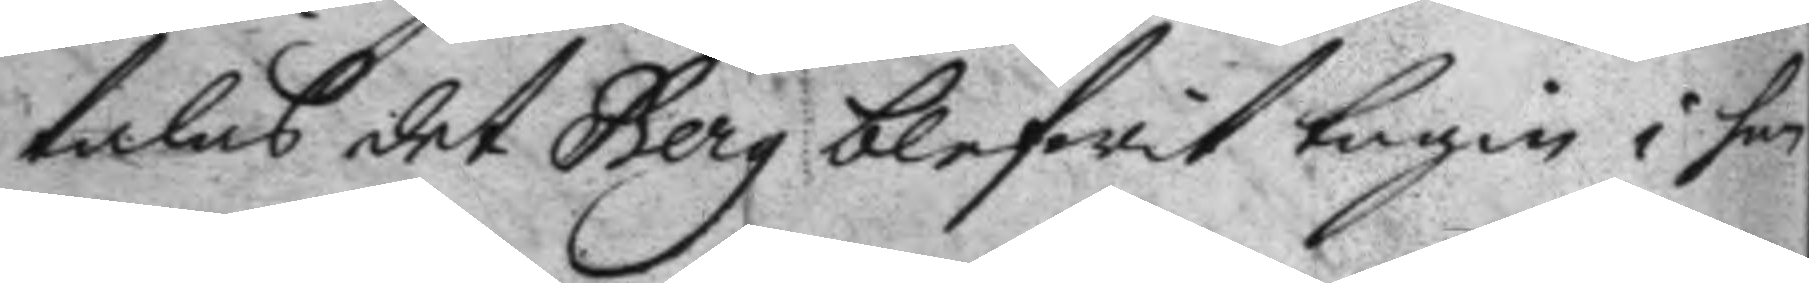talas det Berg blifwit tagin i han¬
